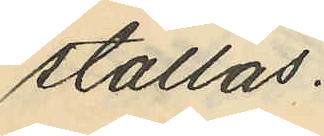ställas.
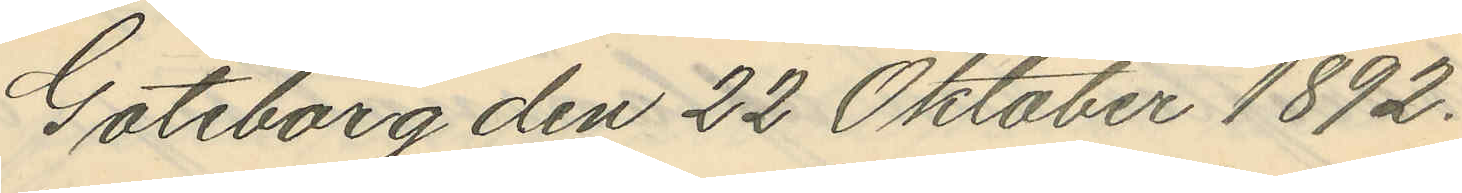Göteborg den 22 Oktober 1892.
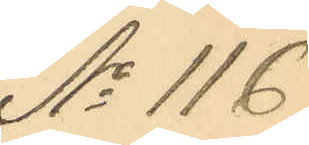No 116
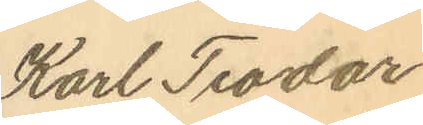Karl Teodor
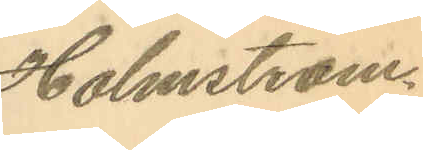Holmström.
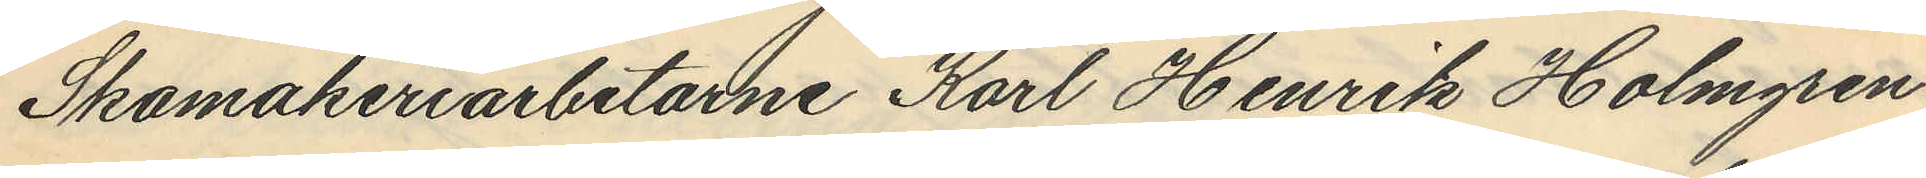Skomakeriarbetarne Karl Henrik Holmgren
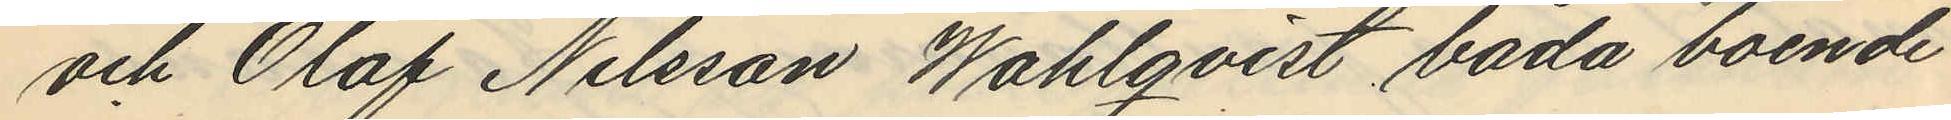och Olof Nilsson Wahlqvist båda boende
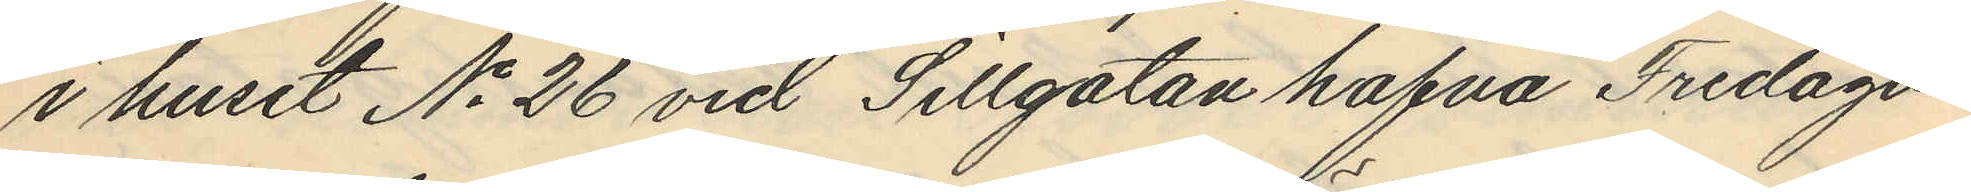i huset No 26 vid Sillgatan hafva Fredagen
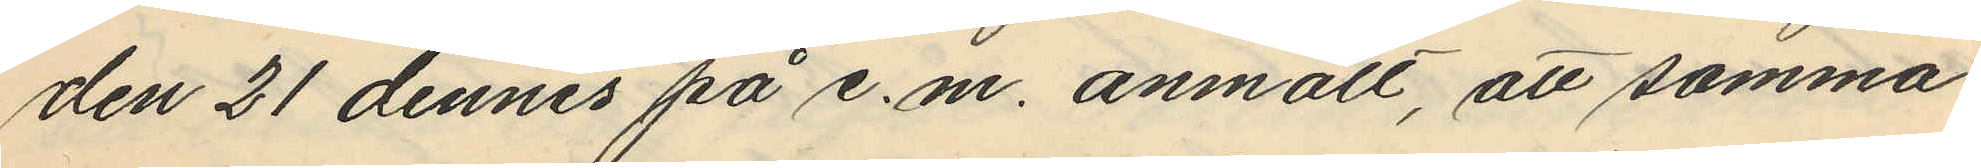den 21 dennes på e.m. anmält, att samma
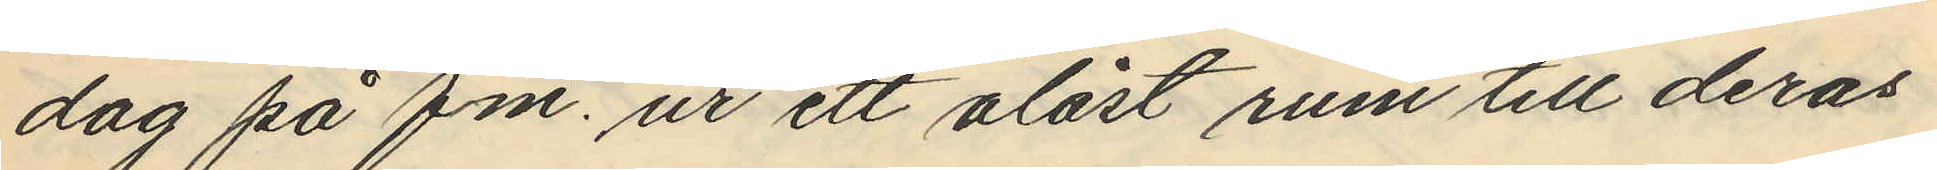dag på fm. ur ett olåst rum till deras
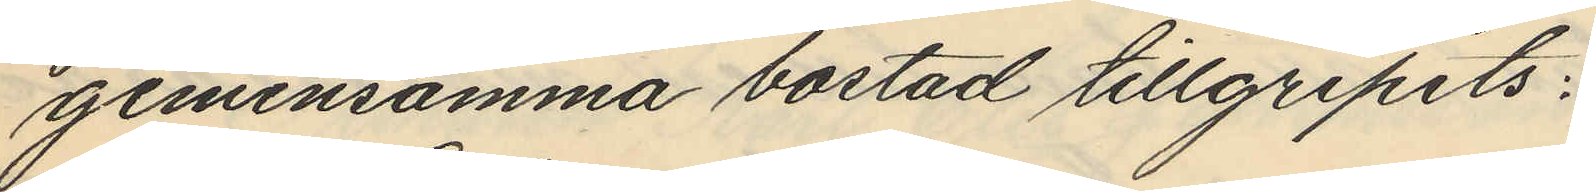gemensamma bostad tillgripits:
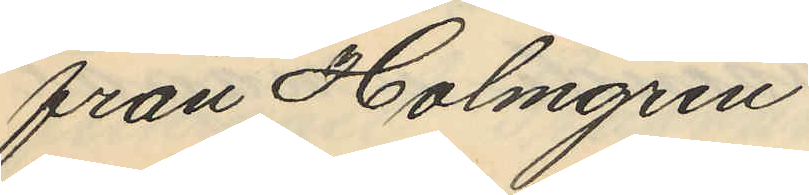från Holmgren
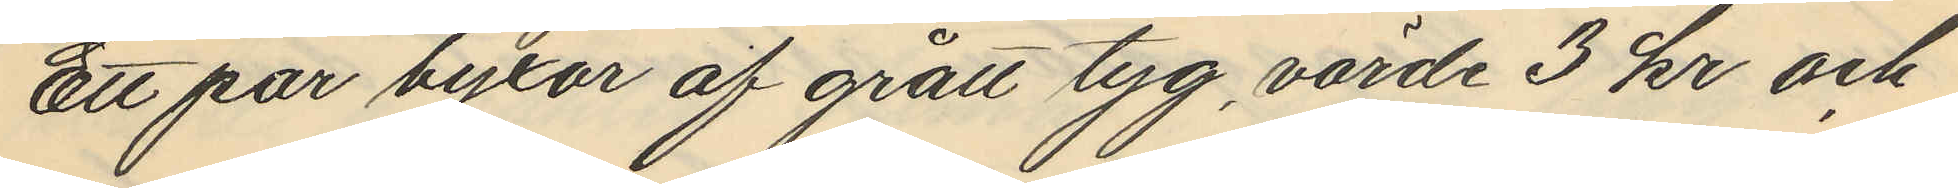Ett par byxor af grått tyg, värde 3 kr och
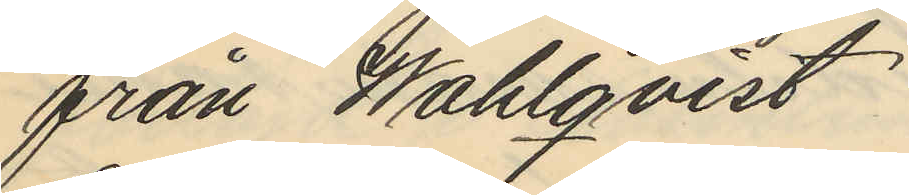från Wahlqvist
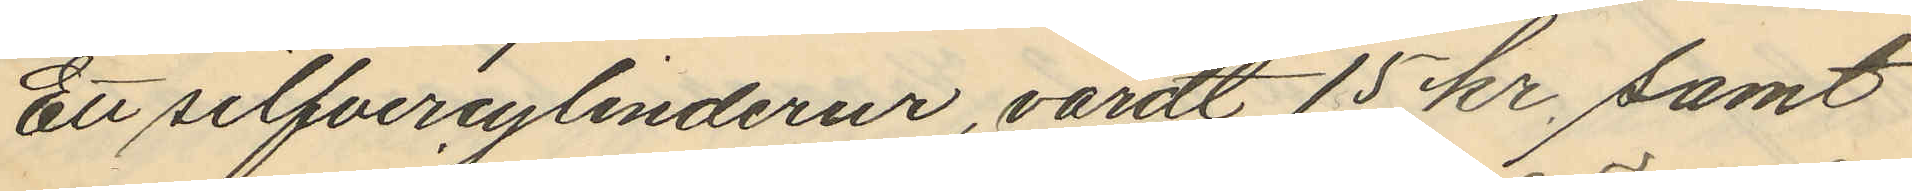Ett silfvercylinderur, värdt 15 kr samt
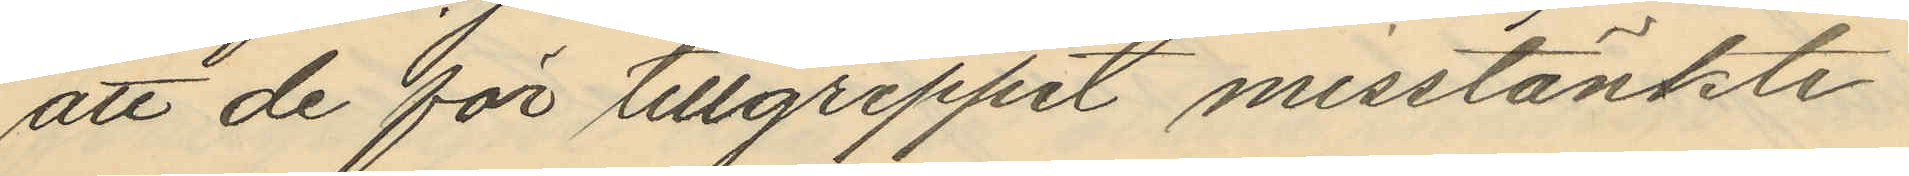att de för tillgreppet misstänkte
